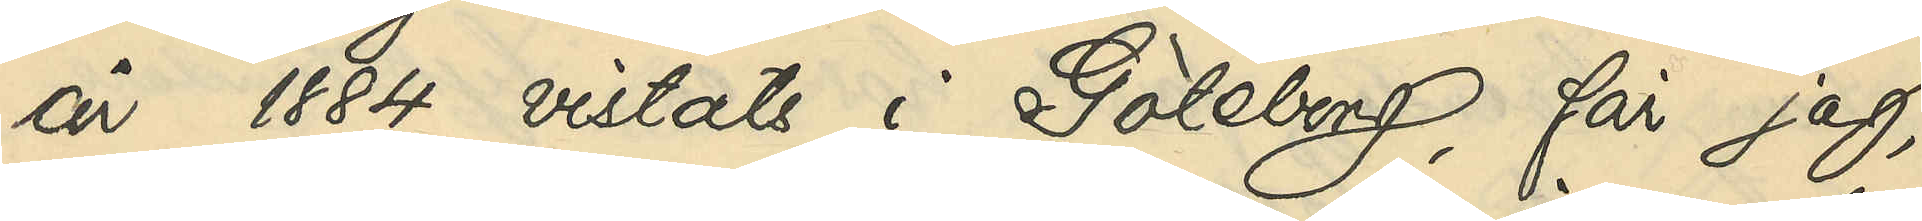år 1884 vistats i Göteborg, får jag,
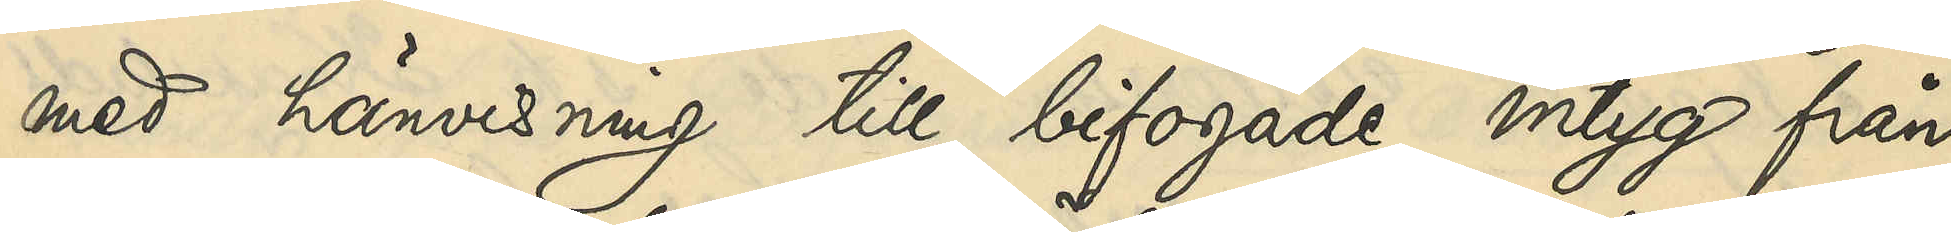med hänvisning till bifogade intyg från
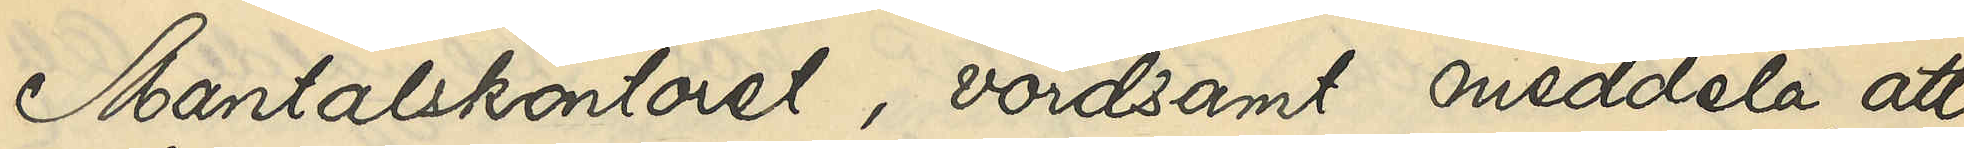Mantalskontoret, vördsamt meddela, att
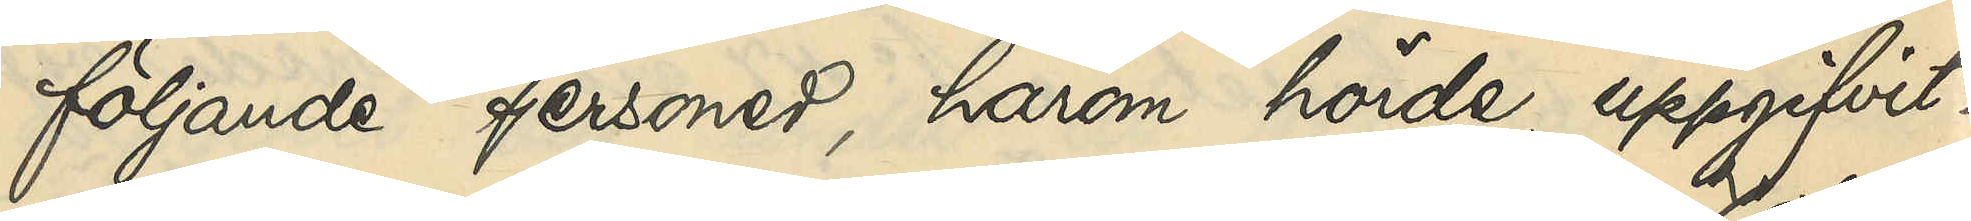följande personer, härom hörde, uppgifvit:
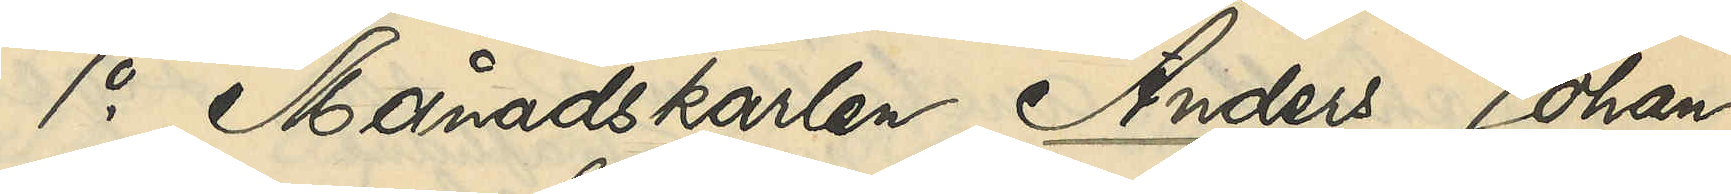1o Månadskarlen Anders Johan
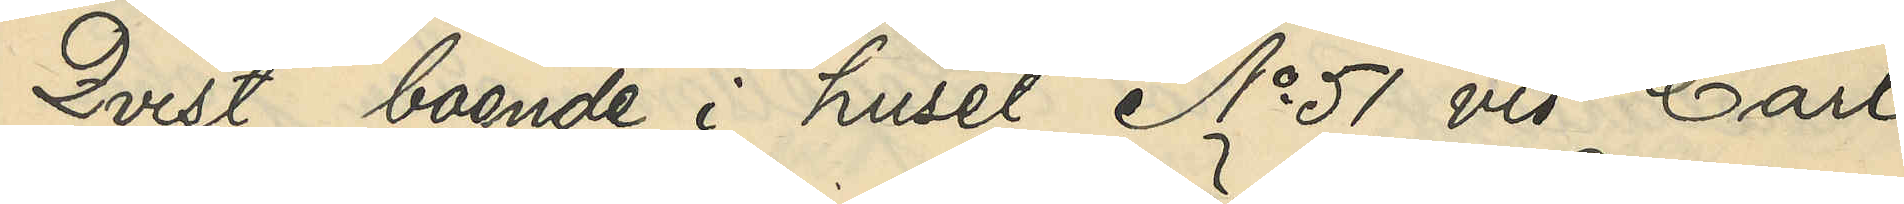Qvist, boende i huset No 51 vid Carl
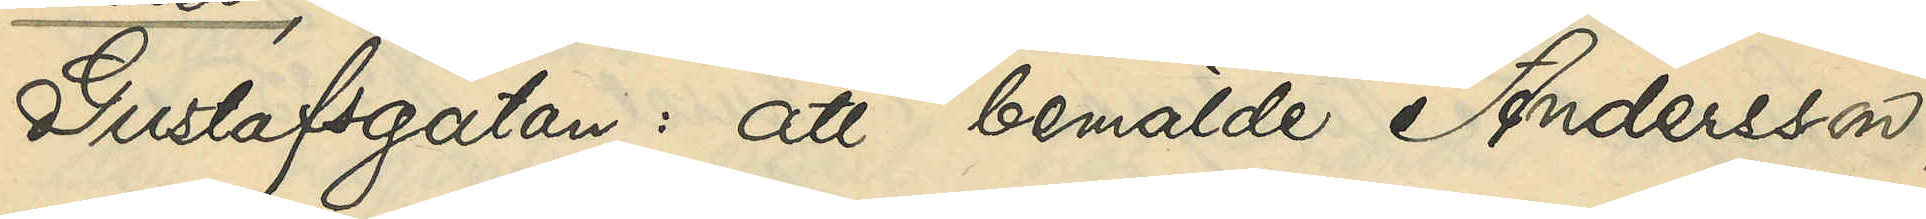Gustafsgatan: att bemälde Andersson,
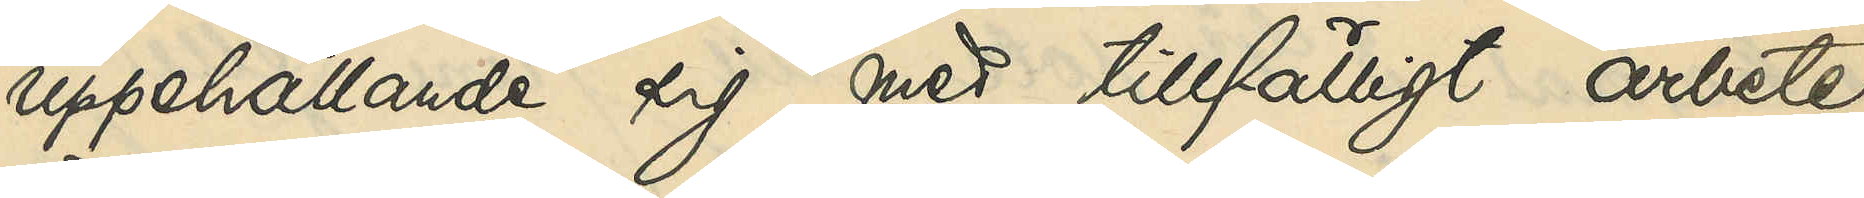uppehållande sig med tillfälligt arbete
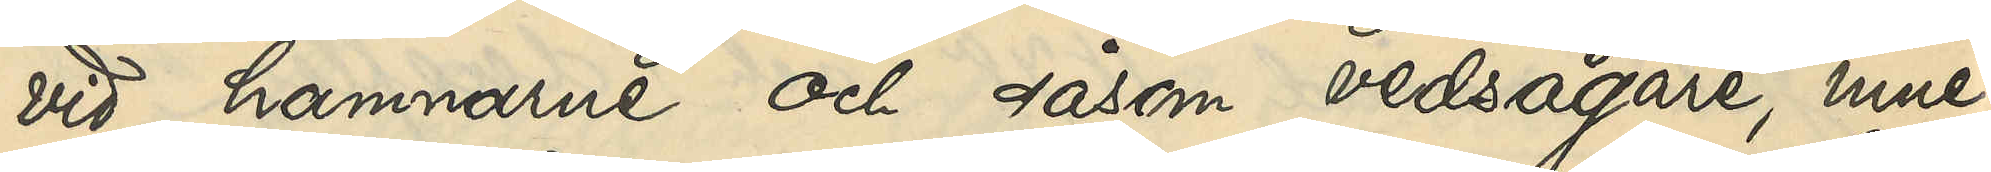vid hamnarne och såsom vedsågare, inne¬
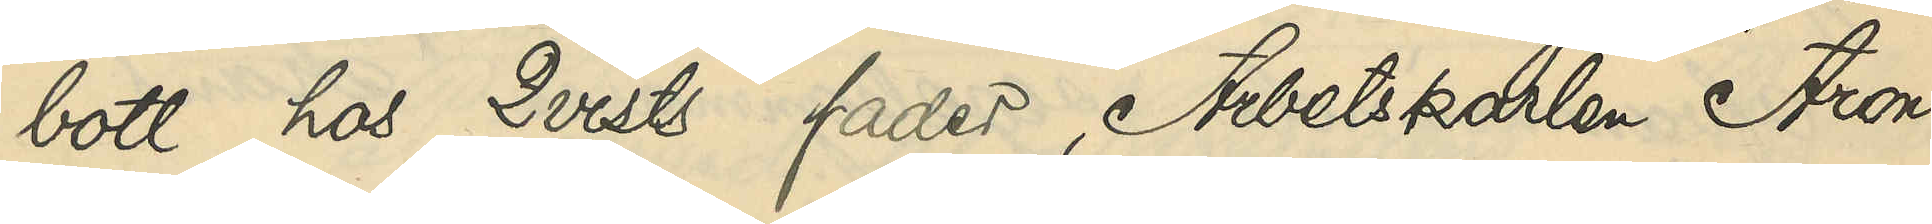bott hos Qvists fader, Arbetskarlen Aron
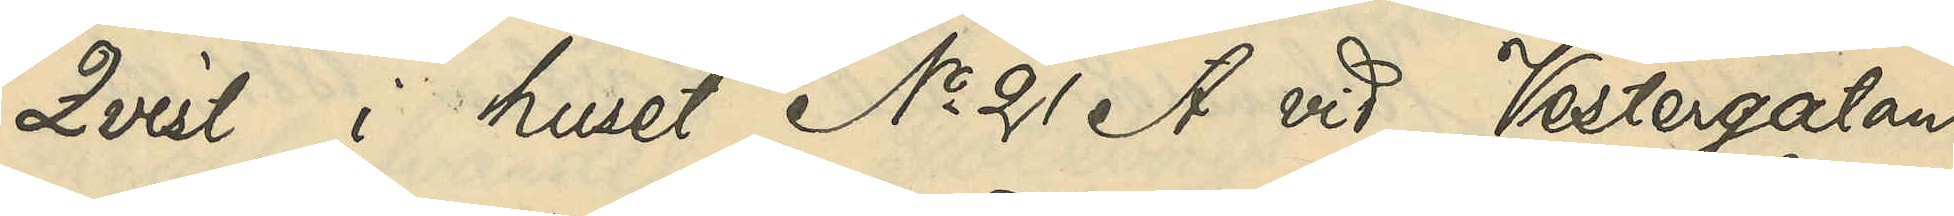Qvist, i huset No 21 A vid Vestergatan
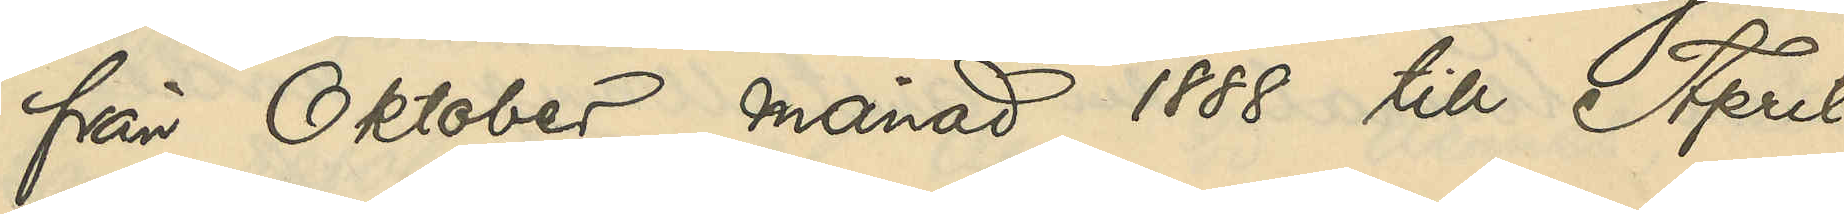från Oktober månad 1888 till April
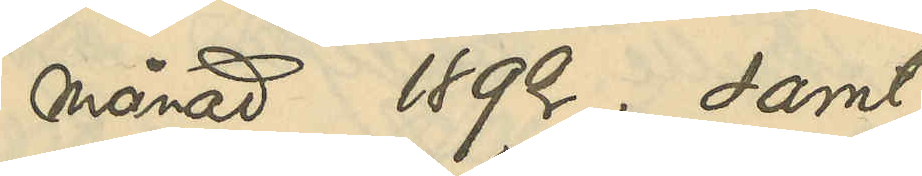månad 1892; samt
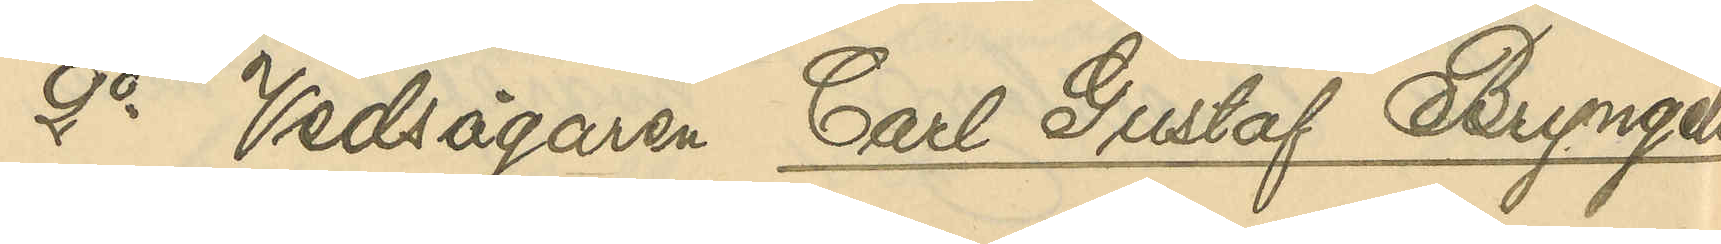2o Vedsågaren Carl Gustaf Bryngels¬
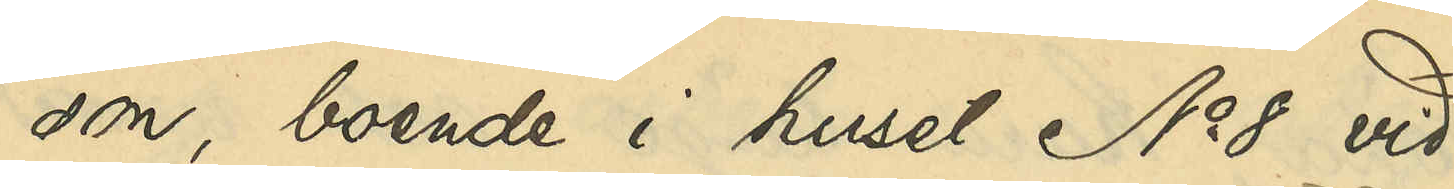son, boende i huset No 8 vid
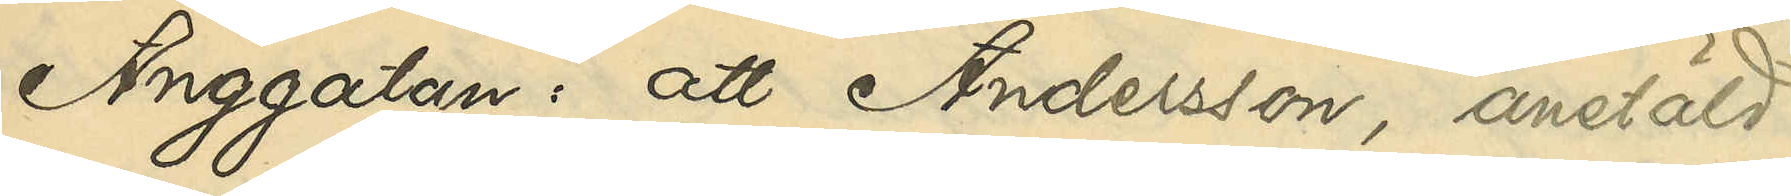Änggatan: att Andersson, anstäld
